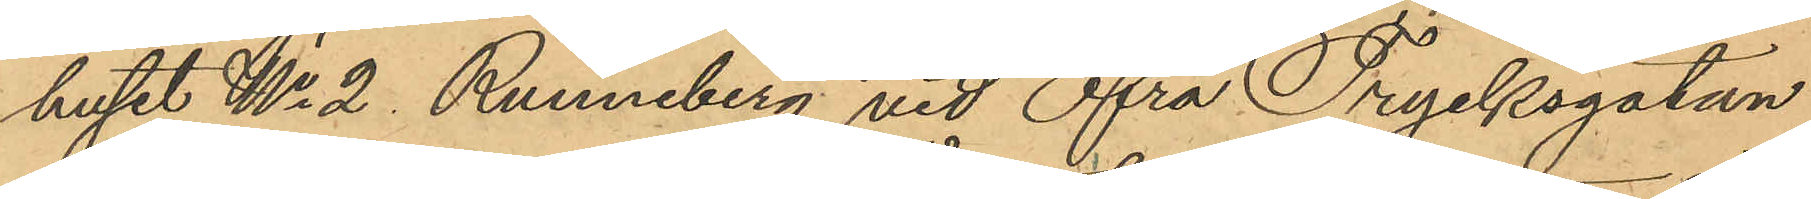huset No 2 Runneberg vid Öfra Trycksgatan
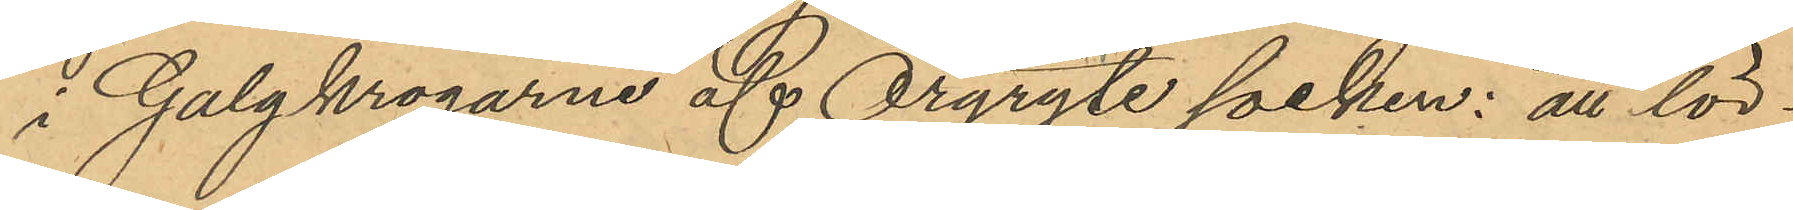i Galgkrogarne af Örgryte socken: att lör¬
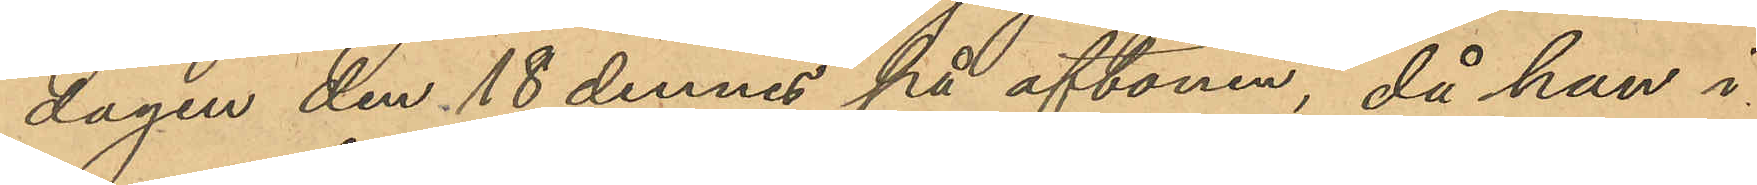dagen den 18 dennes på aftonen, då han i
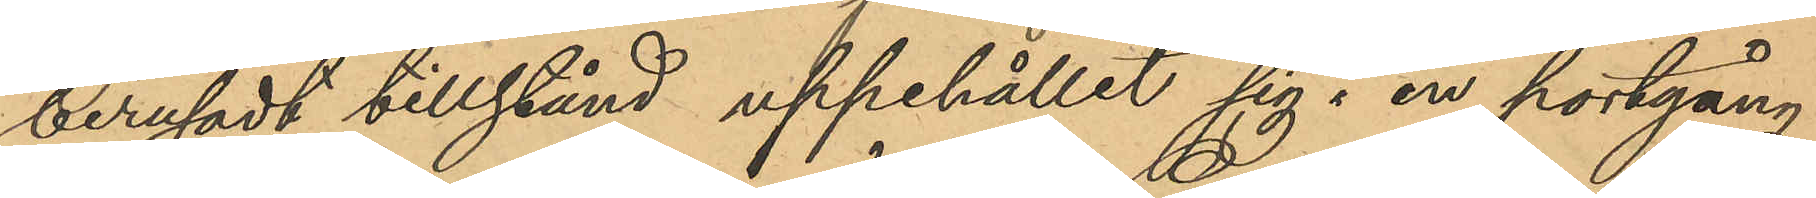berusadt tillstånd uppehållit sig i en portgång
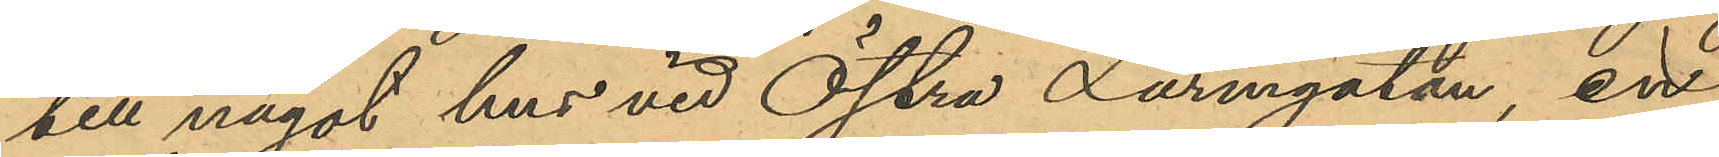till något hus vid Östra Larmgatan, en
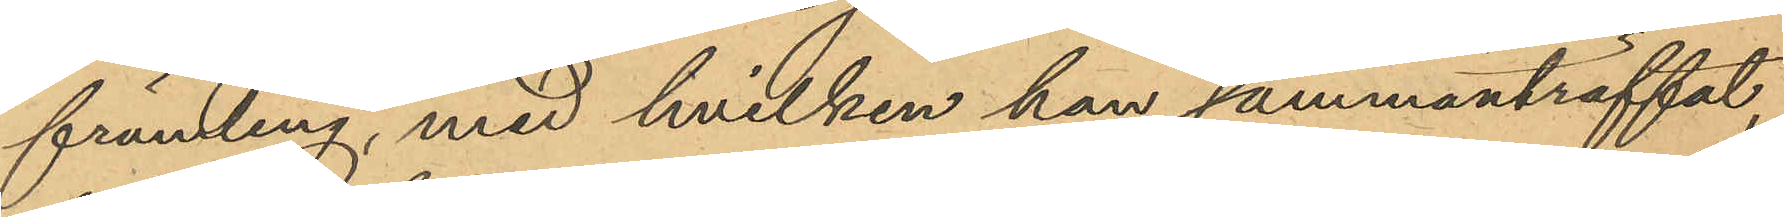främling, med hvilken han sammanträffat,
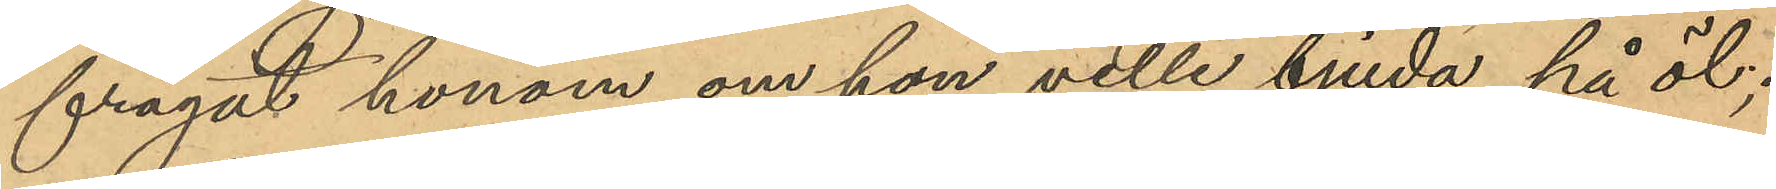frågat honom om han ville bjuda på öl;
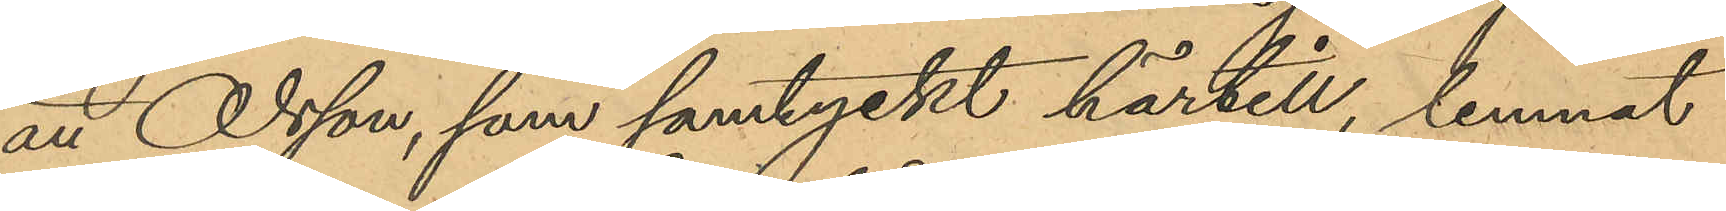att Olsson, som samtyckt härtill, lemnat
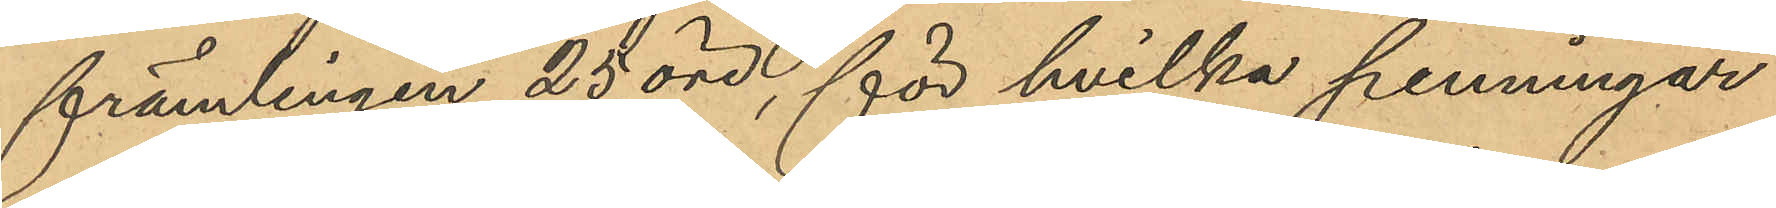främlingen 25 öre, för hvilka penningar
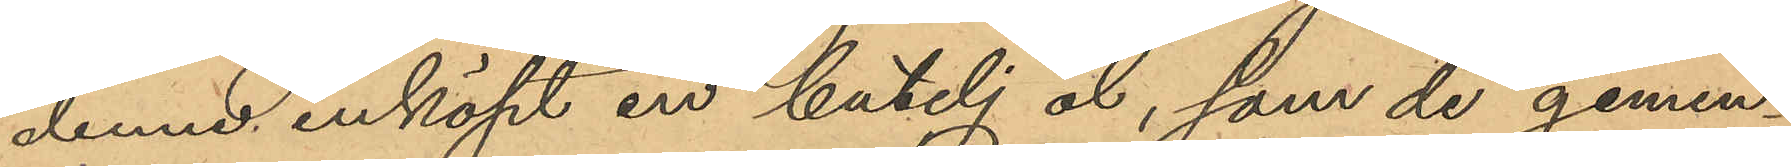denne inköpt en butelj öl, som de gemen¬
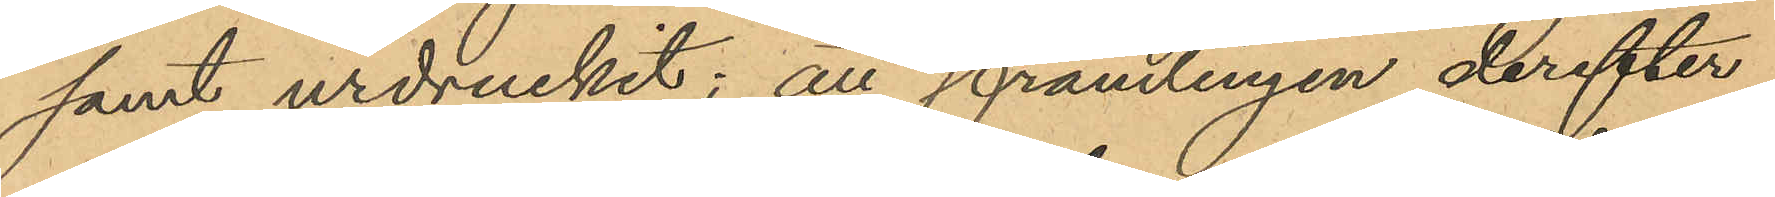samt urdruckit; att främlingen derefter
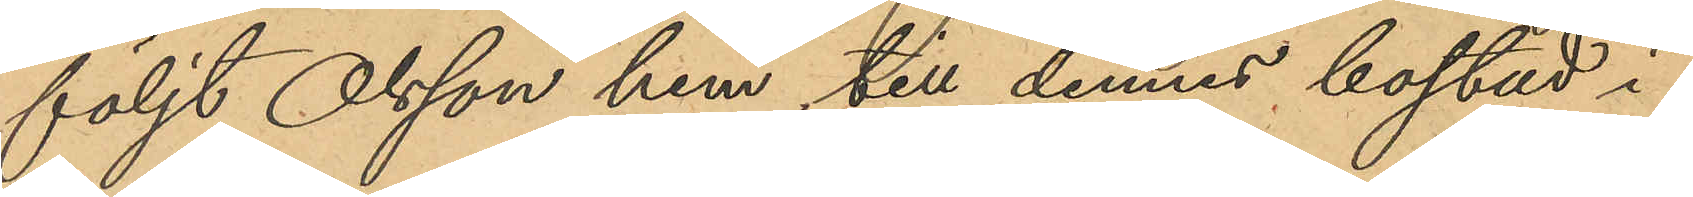följt Olsson hem till dennes bostad i
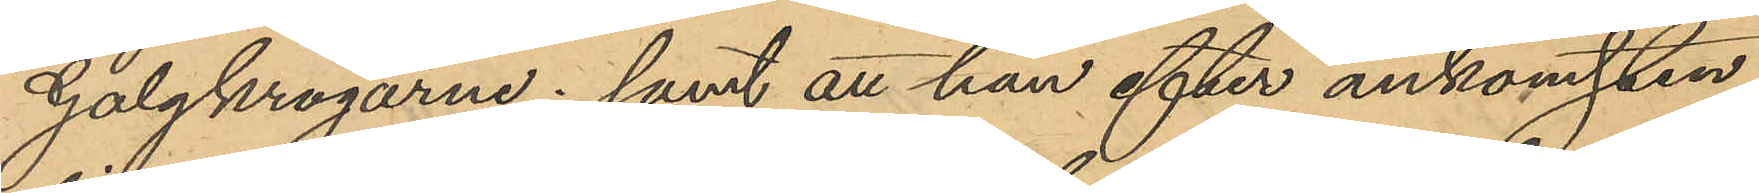Galgkrogarne; samt att han efter ankomsten
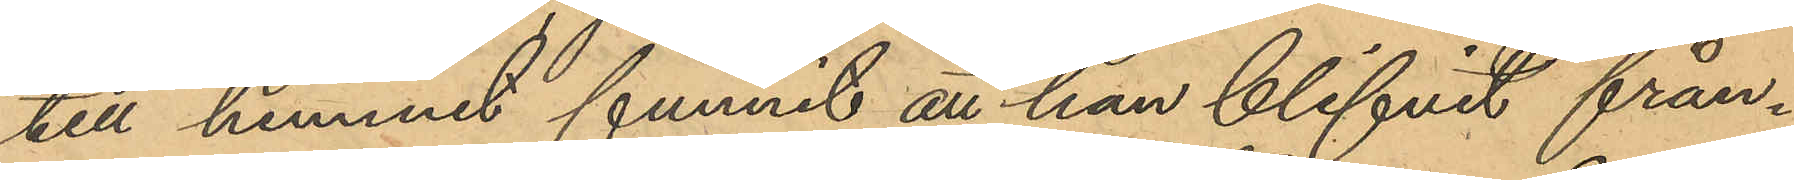till hemmet funnit at han blifvit från¬
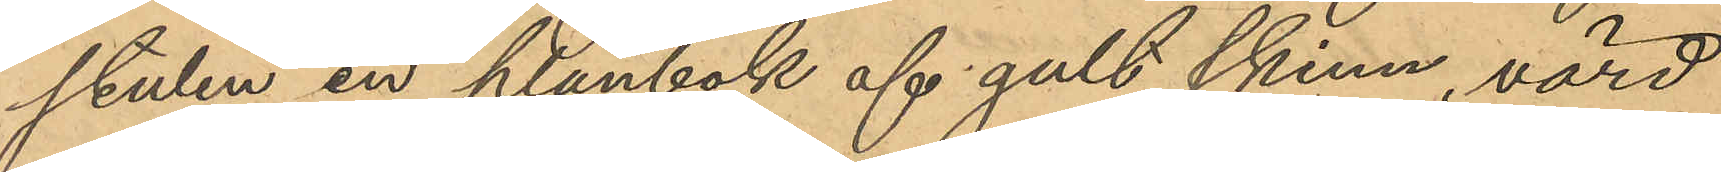stulen en plånbok af gult skinn, värd
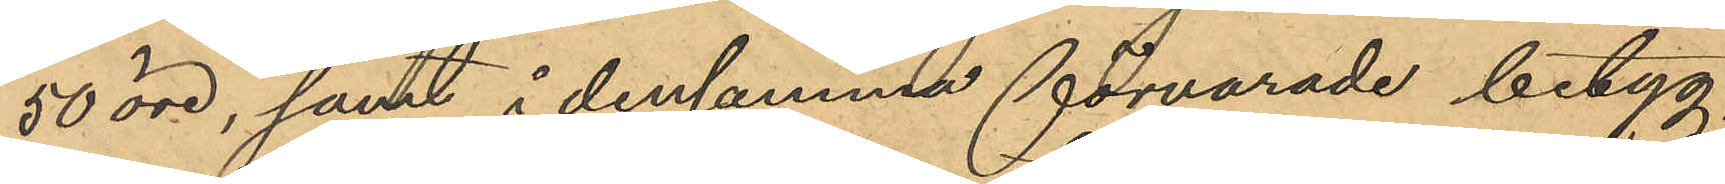50 öre, samt i densamma förvarade betyg,
